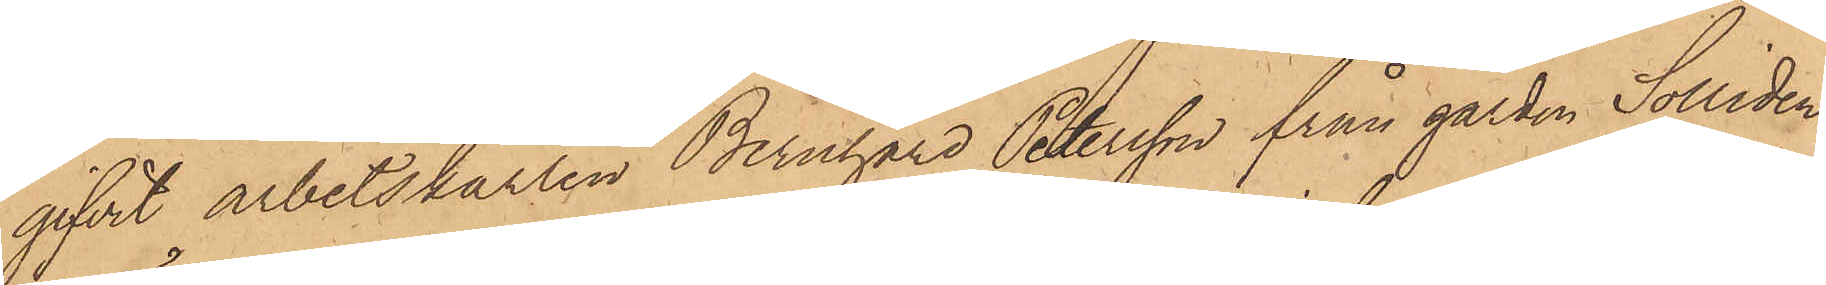gifvit arbetskarlen Bernhard Petersson från gården Solliden
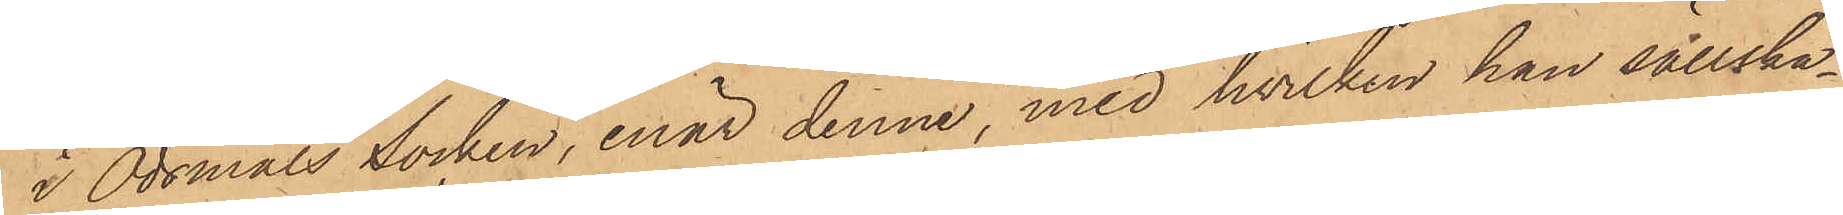i Ödsmåls Socken, enär denne, med hvilken han sällska¬
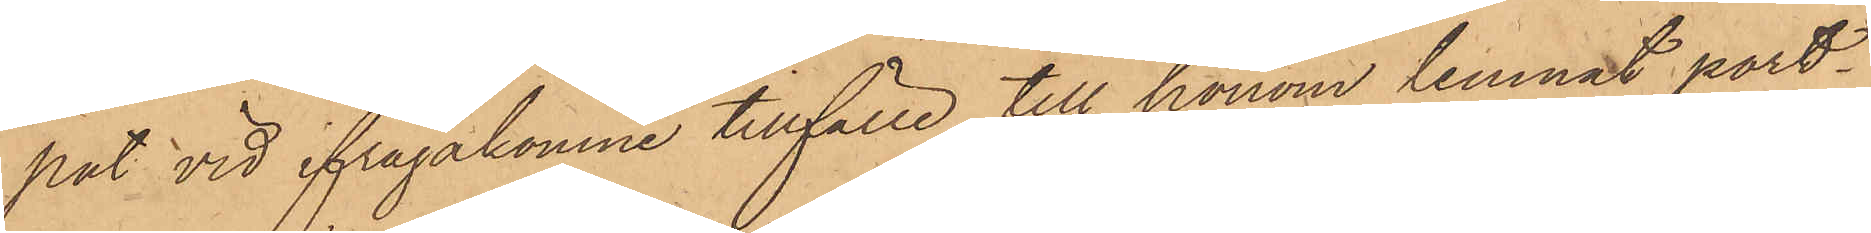pat vid ifrågakomne tillfälle, till honom lemnat port¬
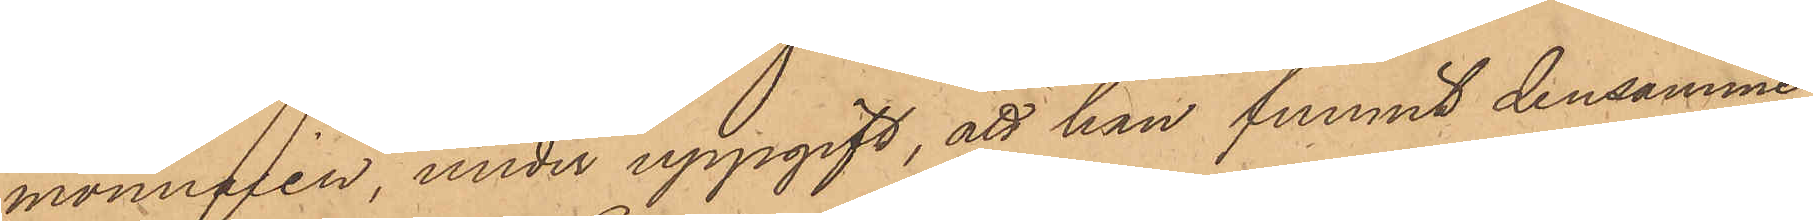monnaien, under uppgift, att han funnit densamme
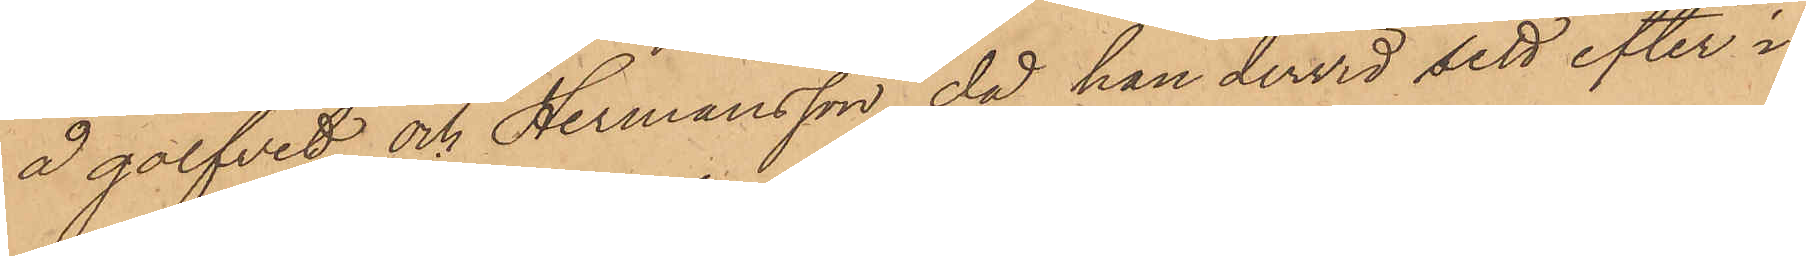å golfvet och Hermansson, då han dervid sett efter i
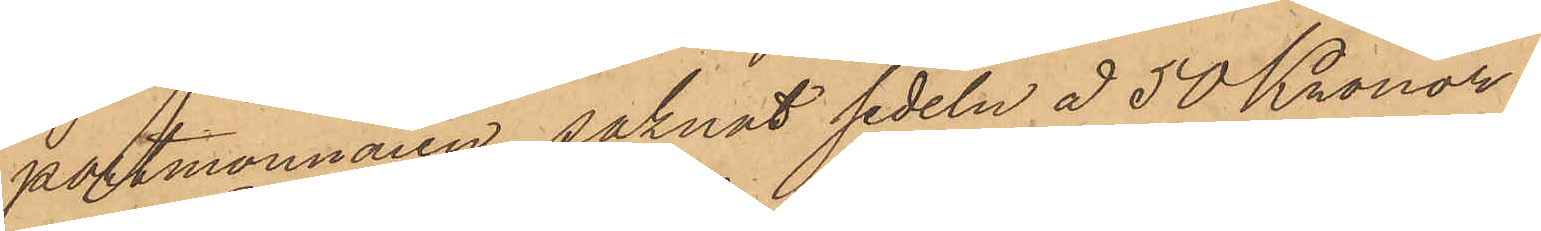portmonnaien, saknat sedeln å 50 Kronor.
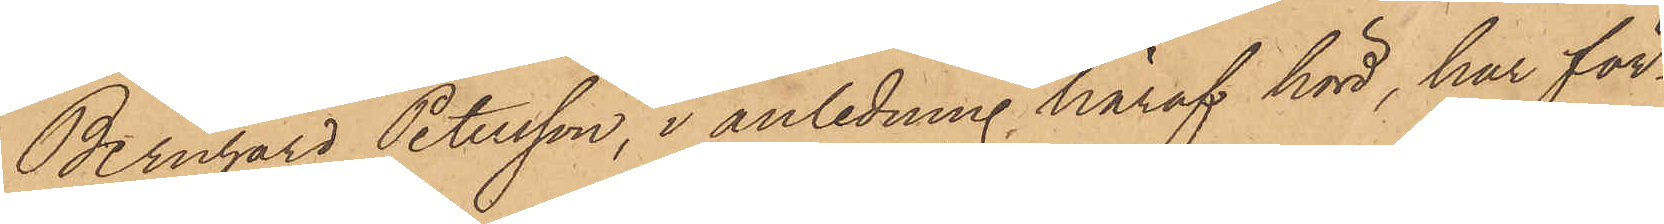Bernhard Petersson, i anledning häraf hörd, har för¬
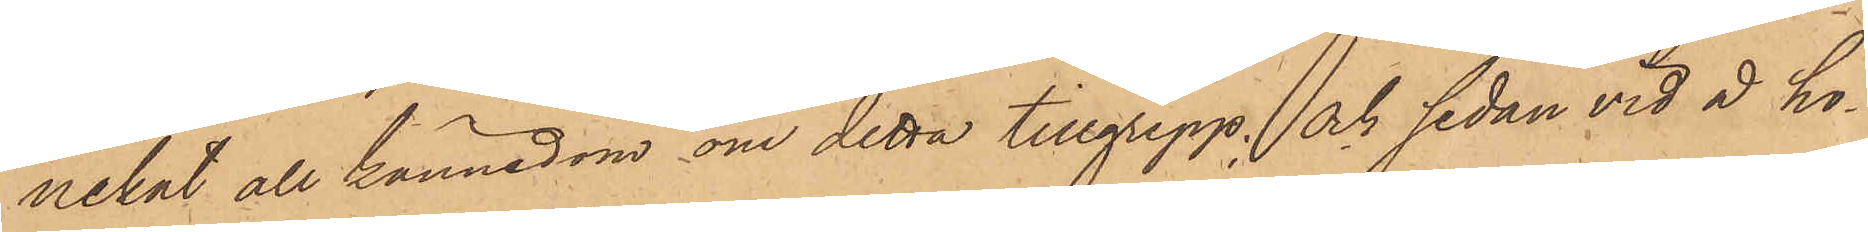nekat all kännedom om detta tillgrepp; och sedan vid å ho¬
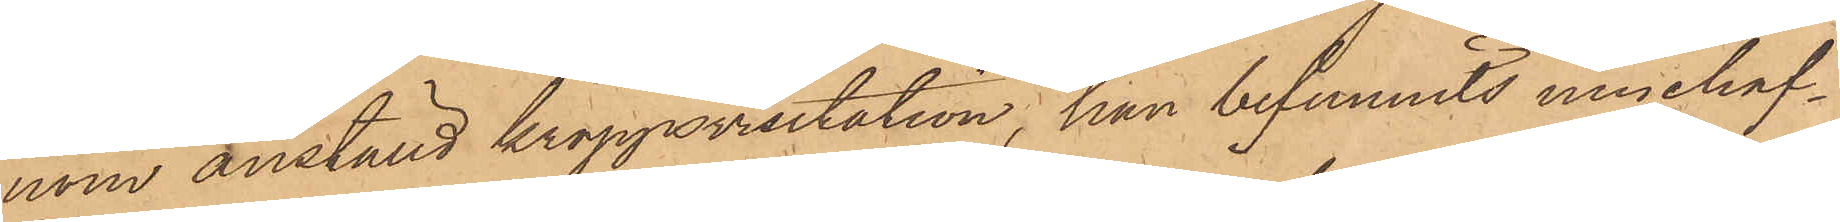nom anställd kroppsvisitation, han befunnits innehaf¬
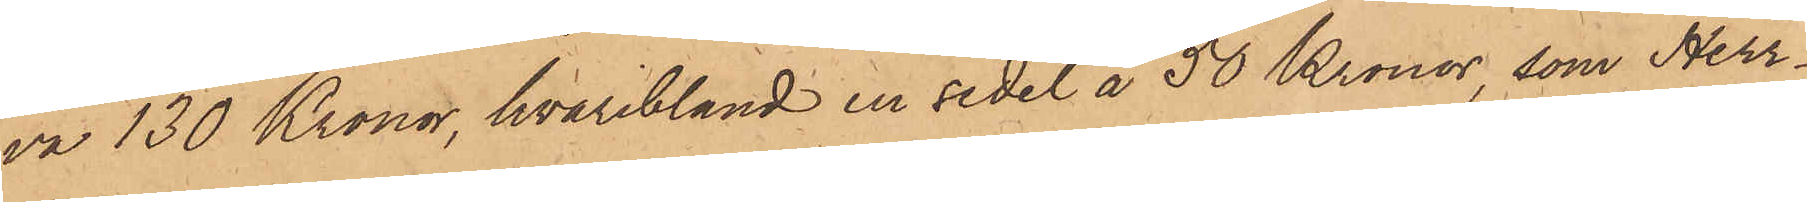va 130 Kronor, hvaribland en sedel å 50 Kronor, som Herr¬
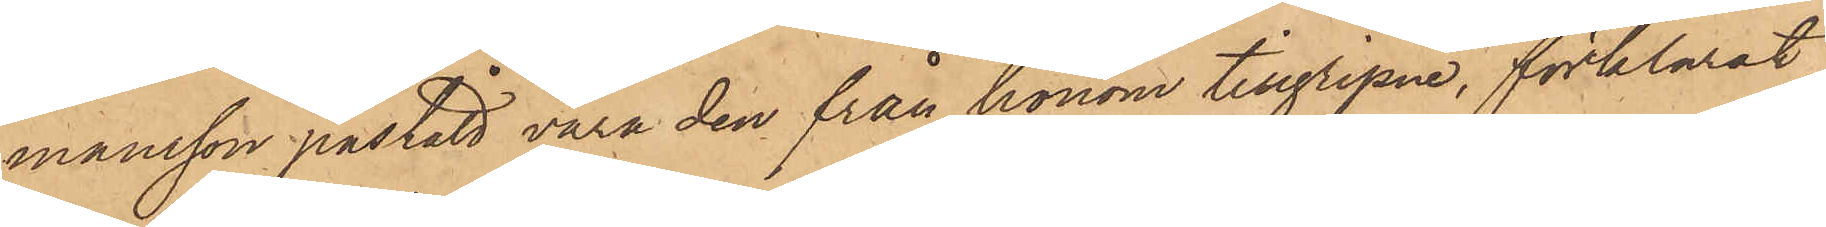mansson påstått vara den från honom tillgripne, förklarat
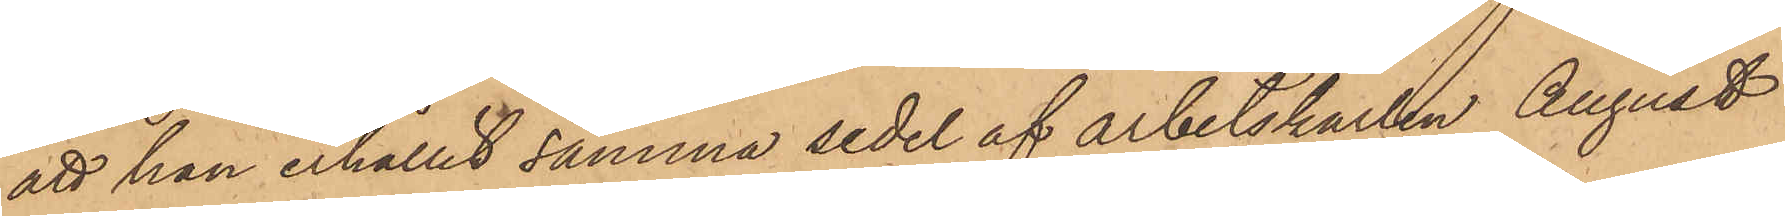att han erhållit samma sedel af arbetskarlen August
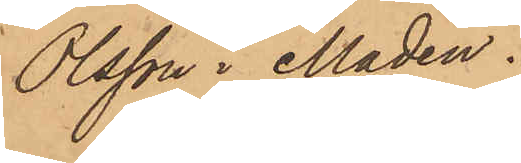Olsson i Maden.
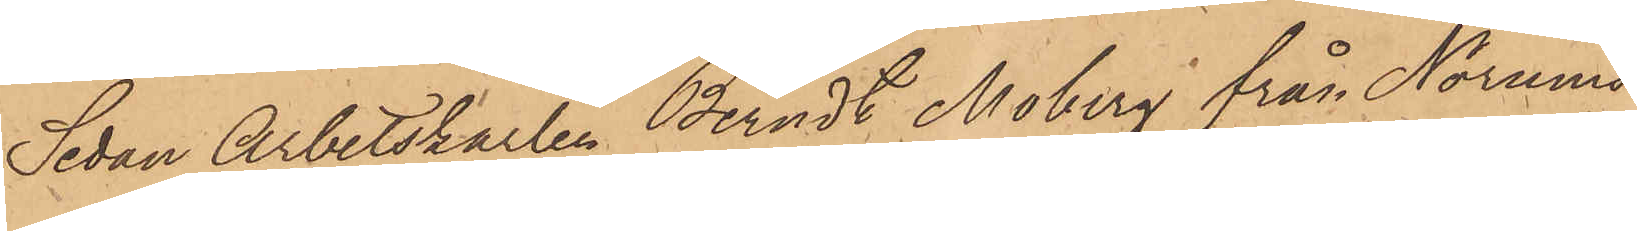Sedan Arbetskarlen Berndt Moberg från Norums
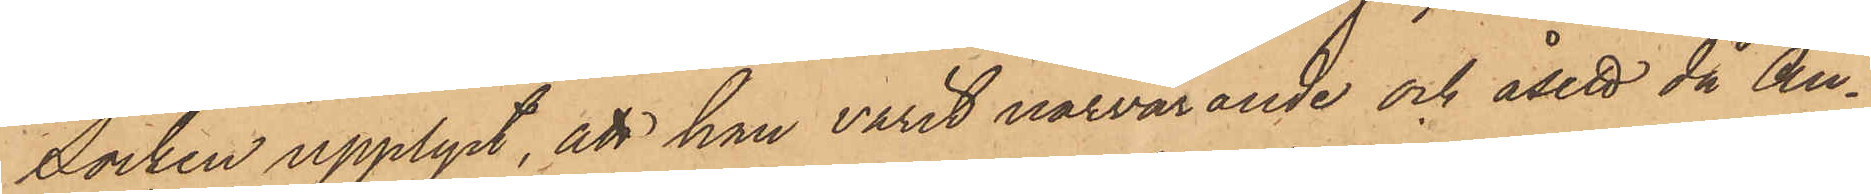Socken upplyst, att han varit närvarande och åsett då Au¬
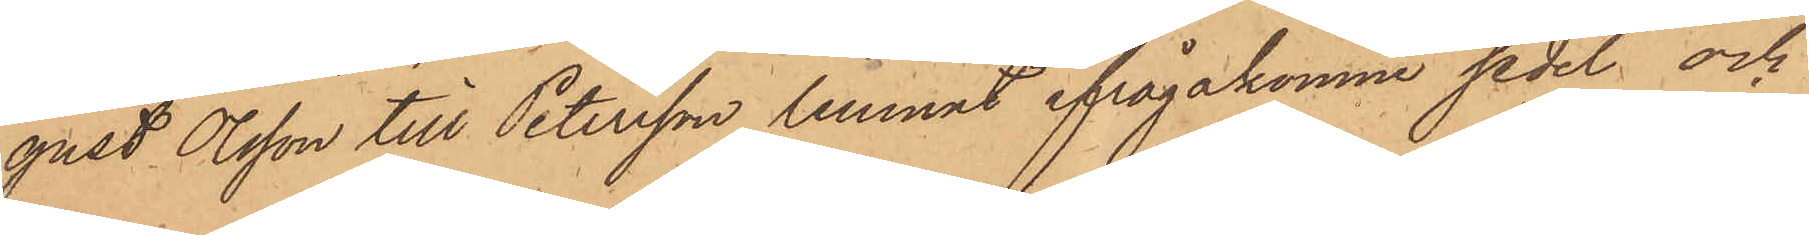gust Olsson till Petersson lemnat ifrågakomne sedel och
